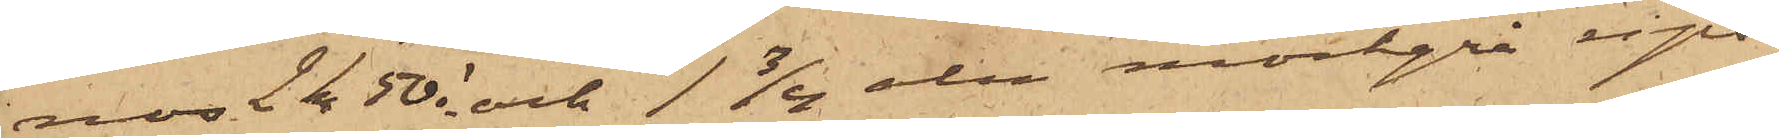nos 2 kr 50 ö och 1 3/4 aln mörkgrå rips
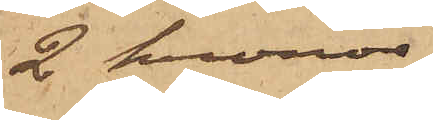2 kronor
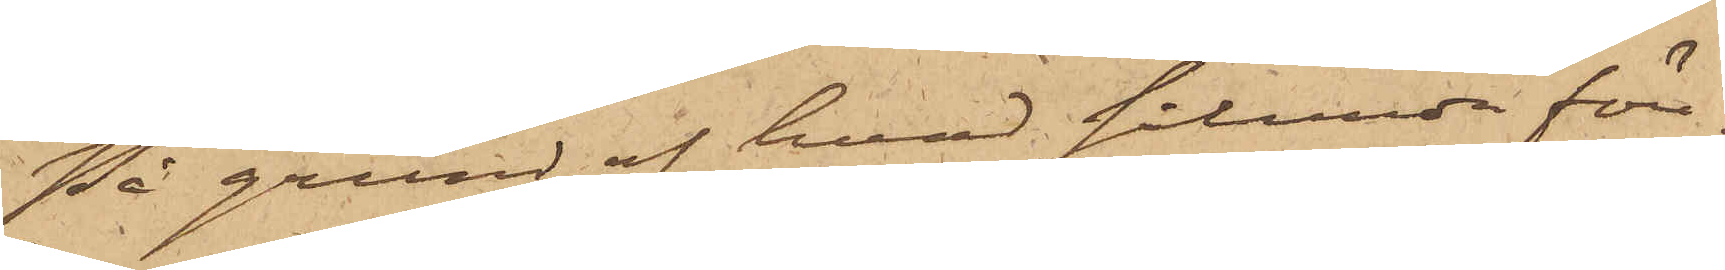På grund af hvad sålunda före¬
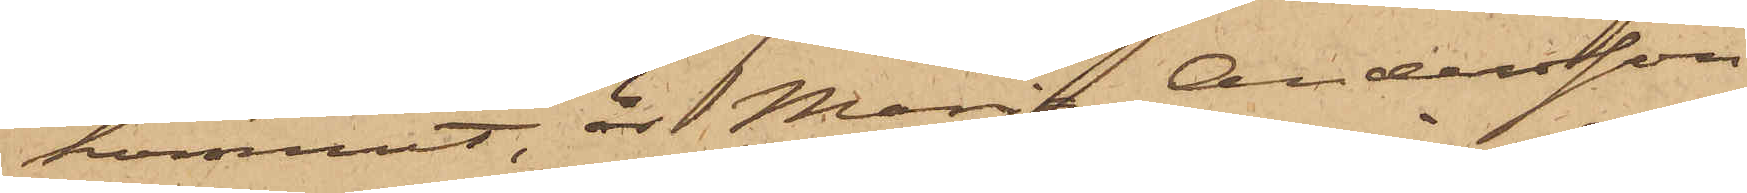kommit, är Maria Andersson
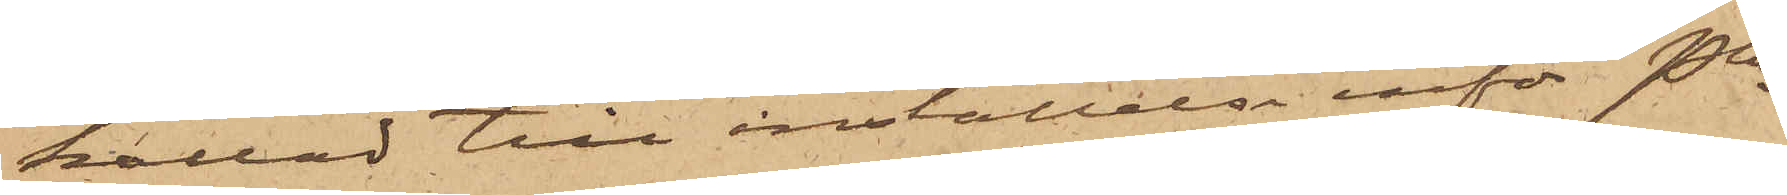kallad till inställelse inför Pkn
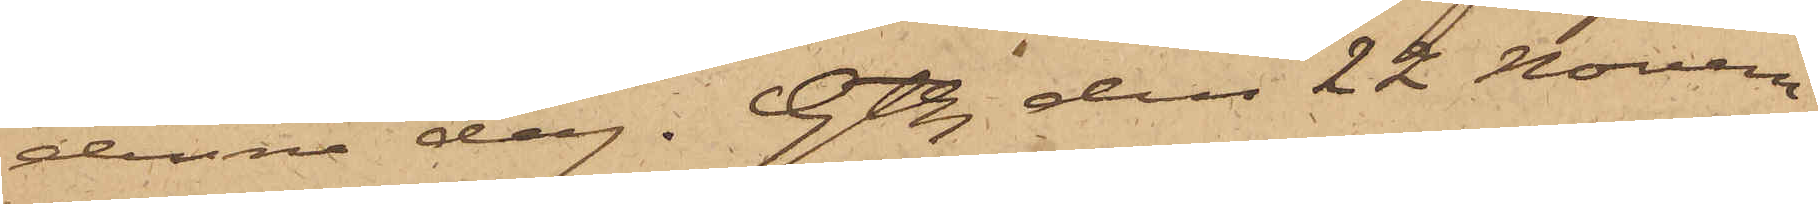denna dag. Gtbg den 22 Novem¬
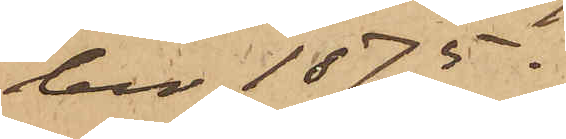ber 1875.
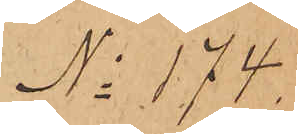No 174.
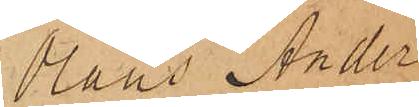Hans Ander¬
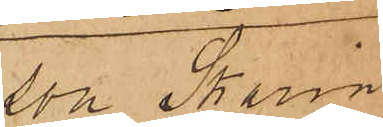son Skarin
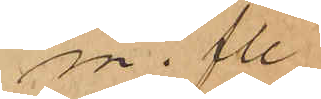m. fl.
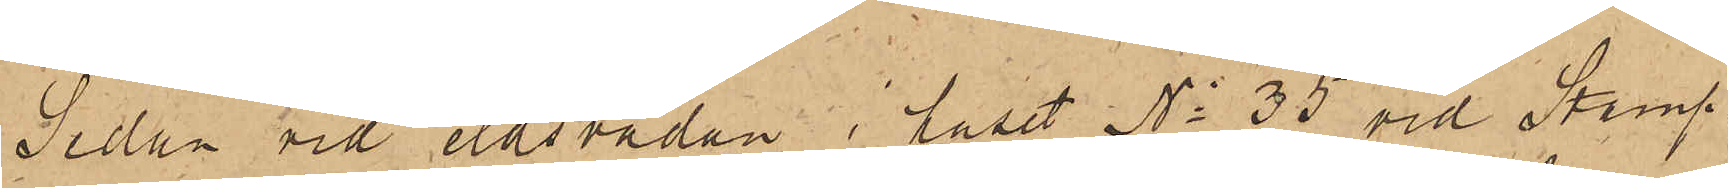Sedan vid eldsvådan i huset No 35 vid Stamp¬
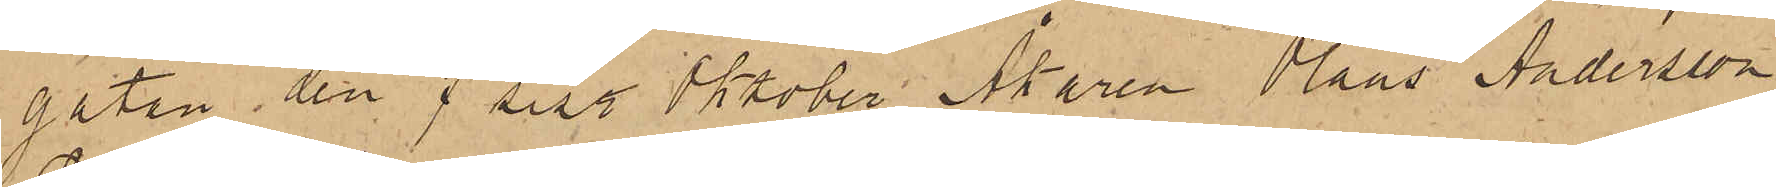gatan den 7 sist. Oktober Åkaren Olaus Andersson
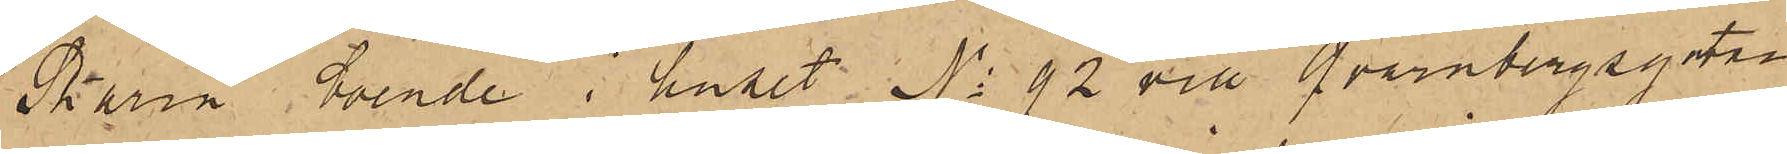Skarin, boende i huset No 92 vid Qvarnbergsgatan
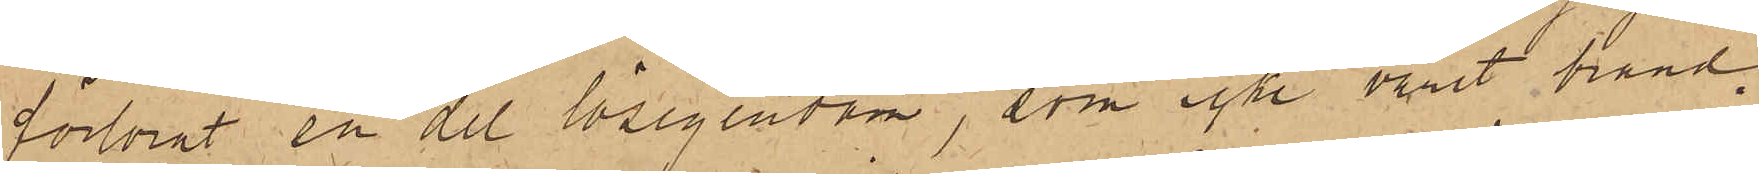förlorat en del lösegendom, som icke varit bran¬
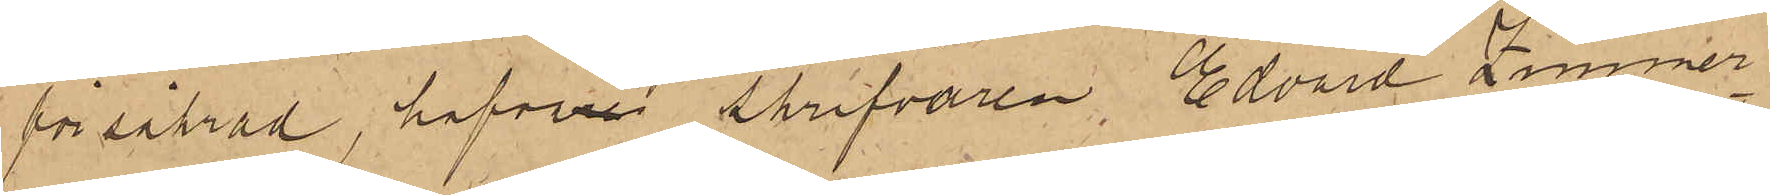försäkrad, hafva Skrifvaren Edvard Zimmer¬
